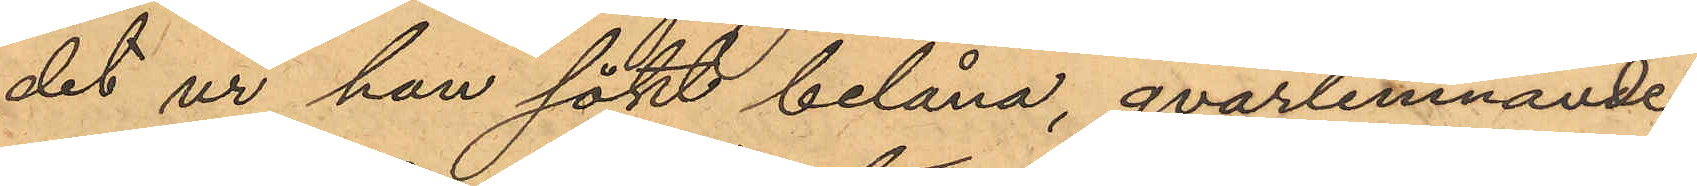det ur han sökt belåna, qvarlemnande
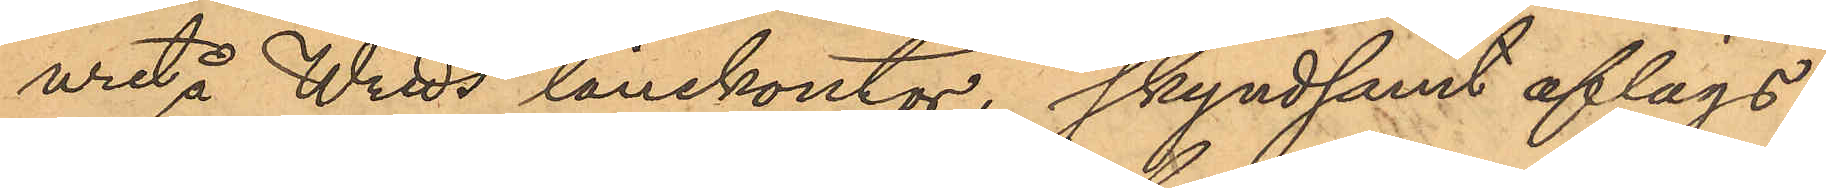uret å Wreds lånekontor, skyndsamt aflägs¬
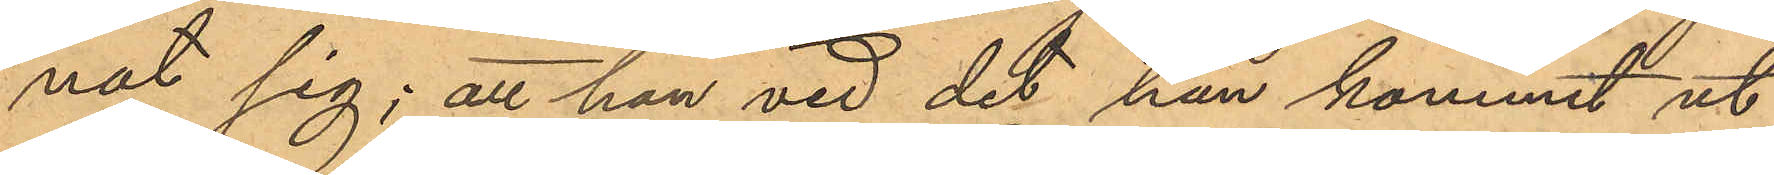nat sig; att han vid det han kommit ut
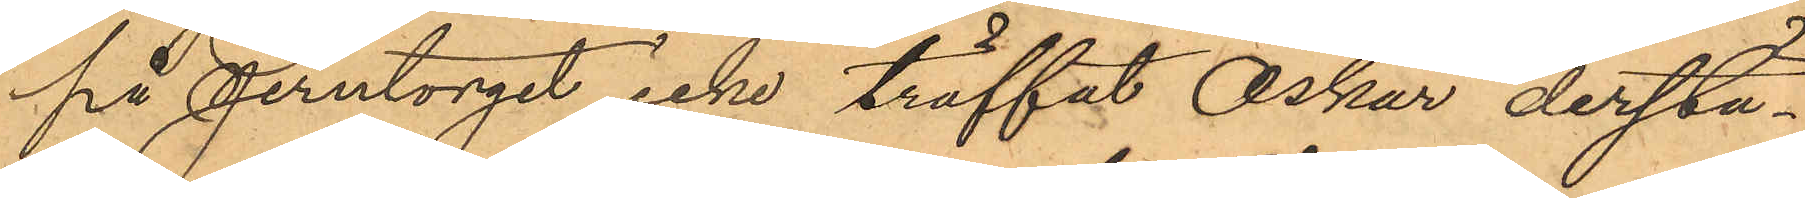på Jerntorget icke träffat Oskar derstä¬
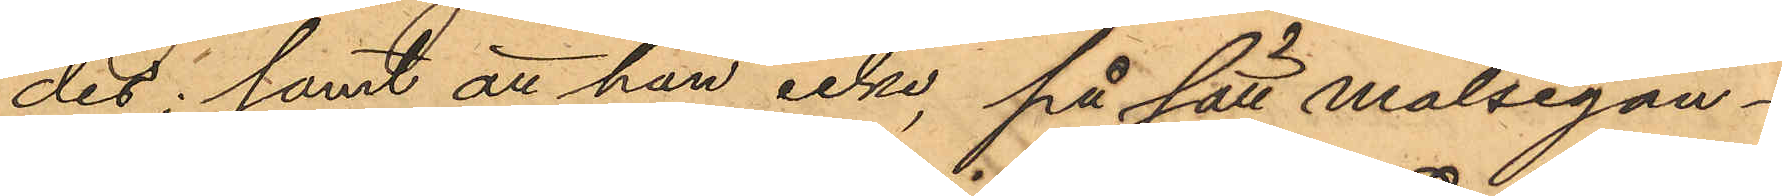des; samt att han icke, på sätt målsegan¬
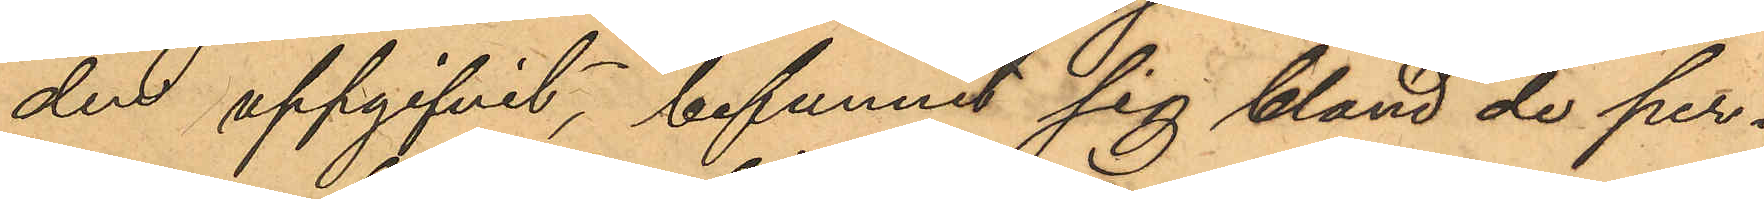den uppgifvit, befunnit sig bland de per¬
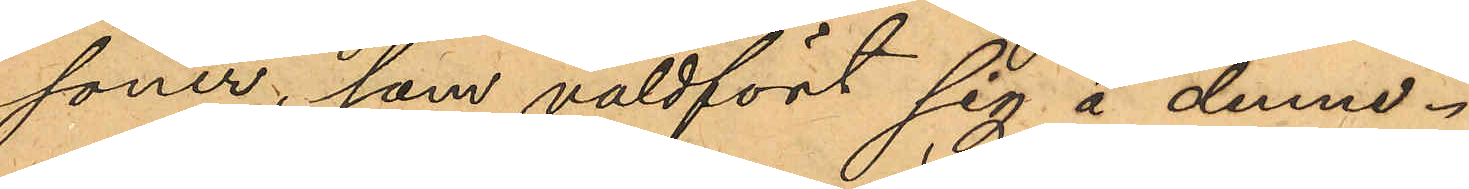soner, som våldfört sig å denne.
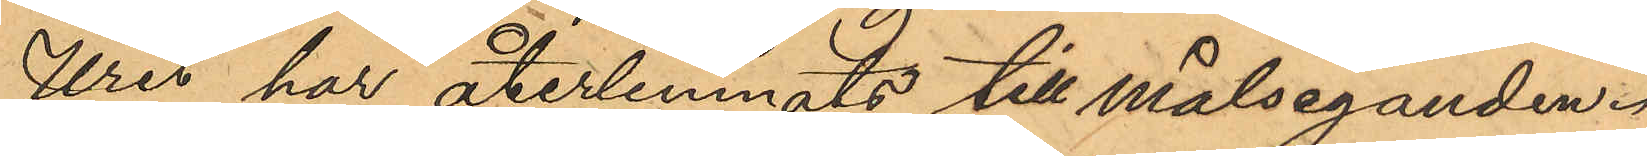Uret har återlemnats till Målseganden.
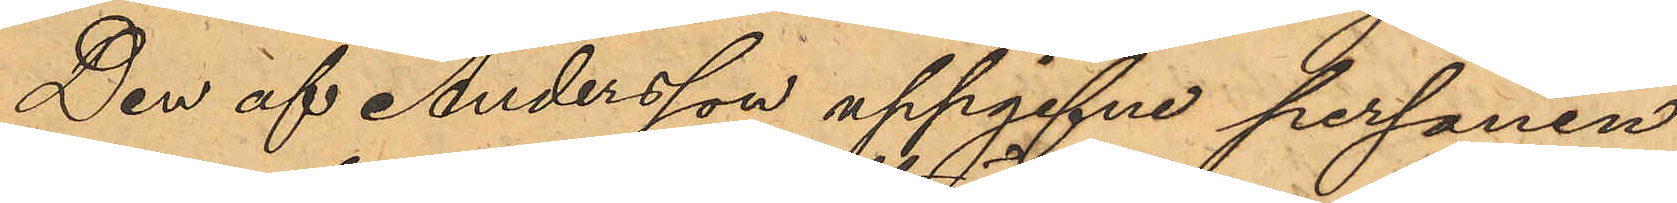Den af Andersson uppgifne personen
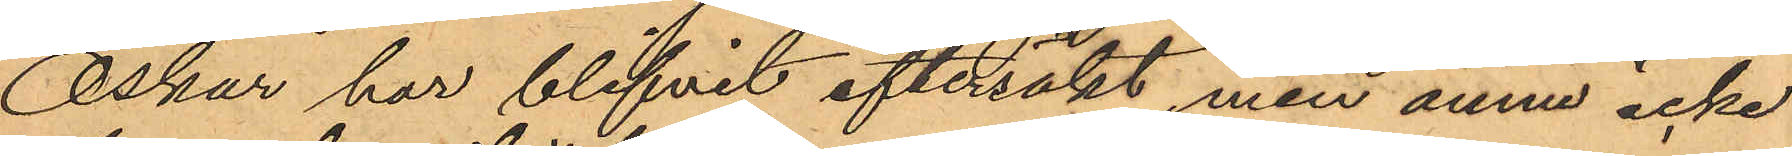Oskar har blifvit eftersökt, men ännu icke
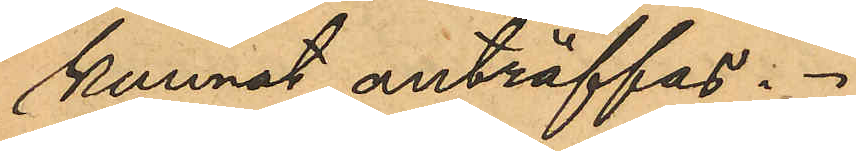kunnat anträffas.
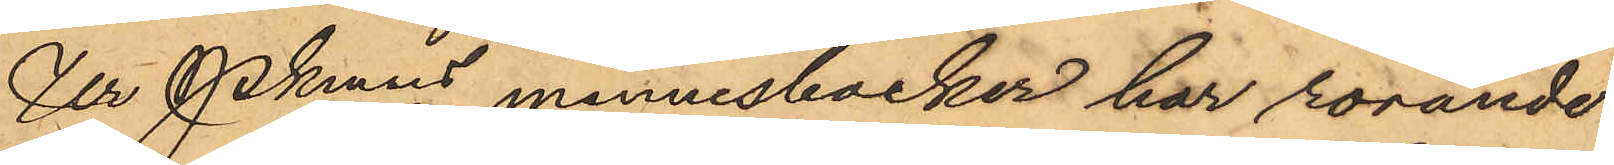Ur Pkmns minnesböcker har rörande
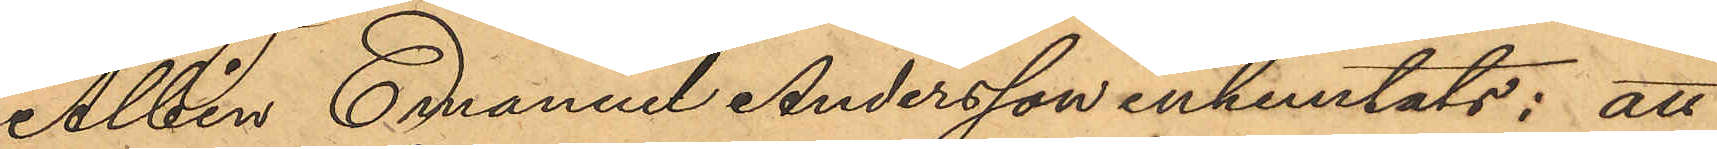Albin Emanuel Andersson inhemtats: att
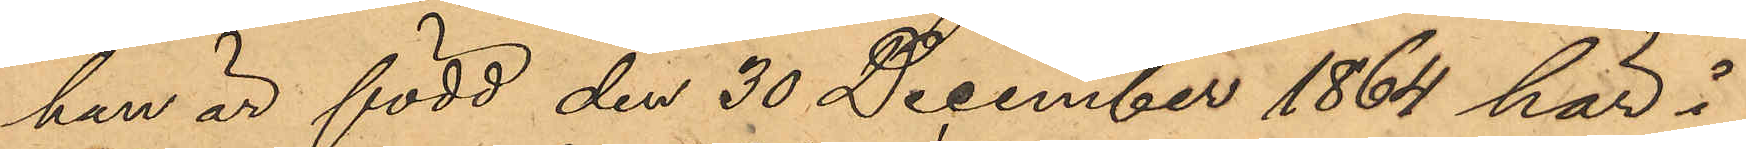han är född den 30 December 1864 här i
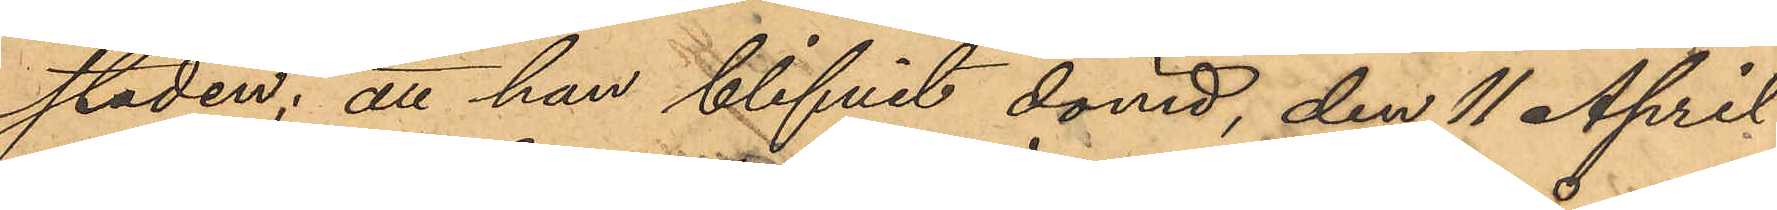staden; att han blifvit dömd, den 11 April
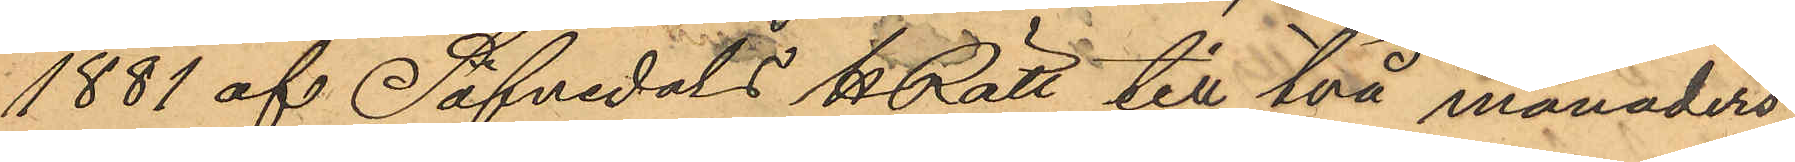1881 af Säfvedats HRätt till två månaders
